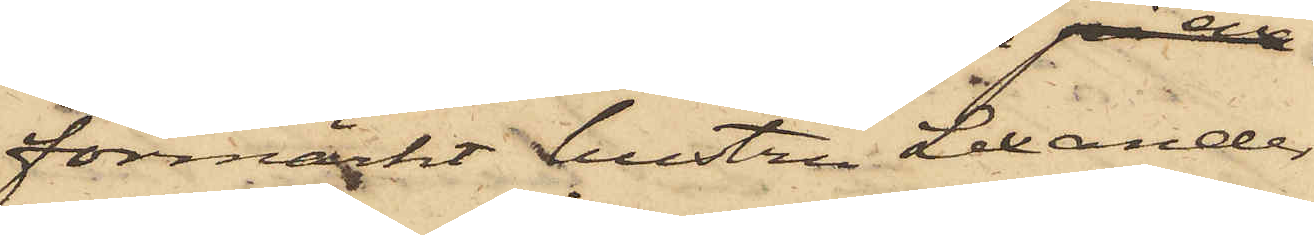förmärkt hustrun Lexander
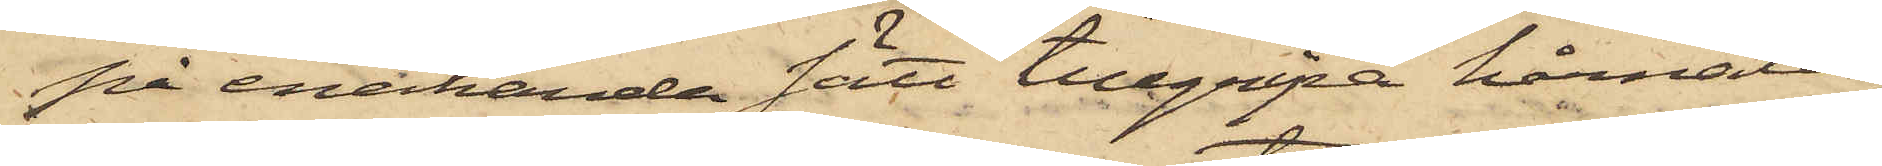på enahanda sätt tillgripa hårnålar,
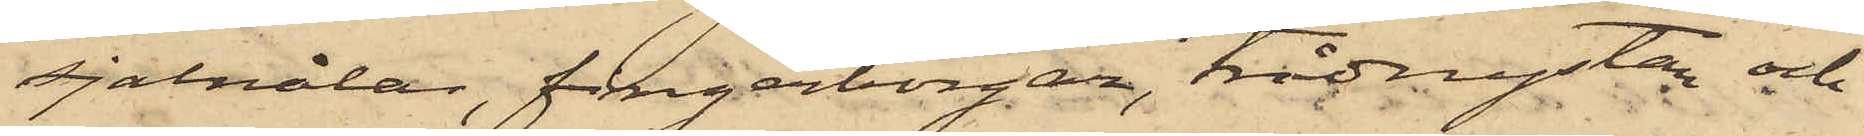sjalnålar, fingarborgar, trådnystan och
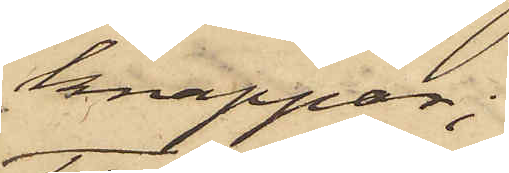knappar;
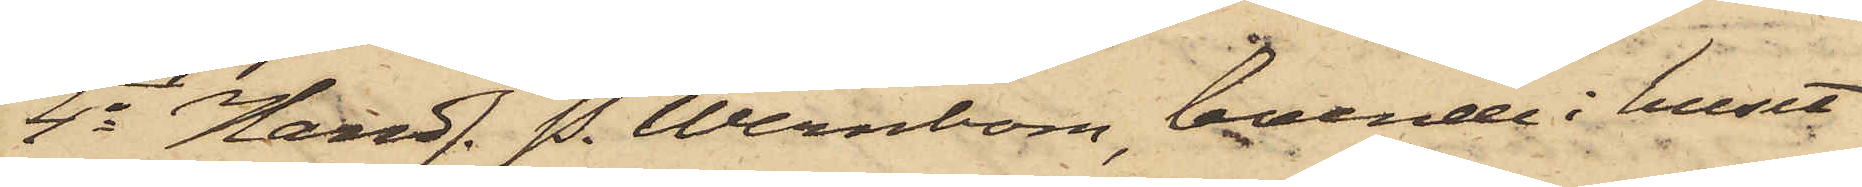4o Handl. P. Wernbom, boende i huset
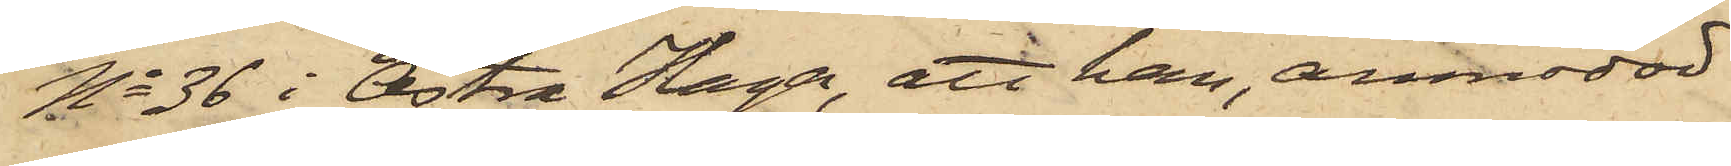No 36 i Östra Haga, att han, anmodad
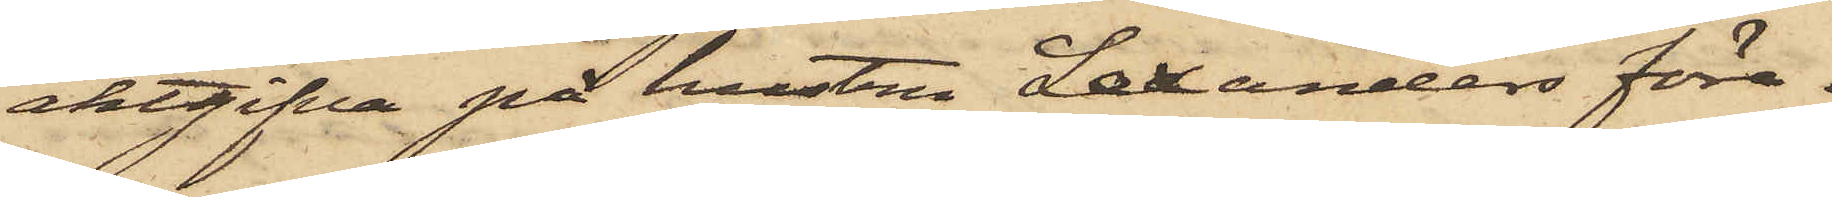aktgifva på hustru Lexanders före¬
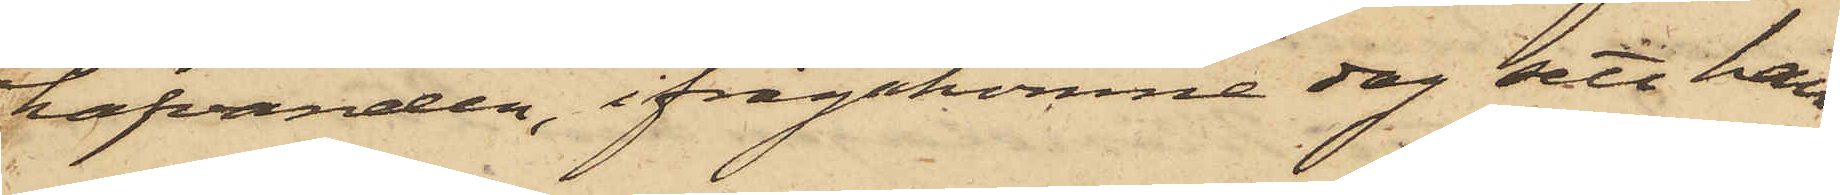hafvanden, ifrågakomne dag sett hen¬
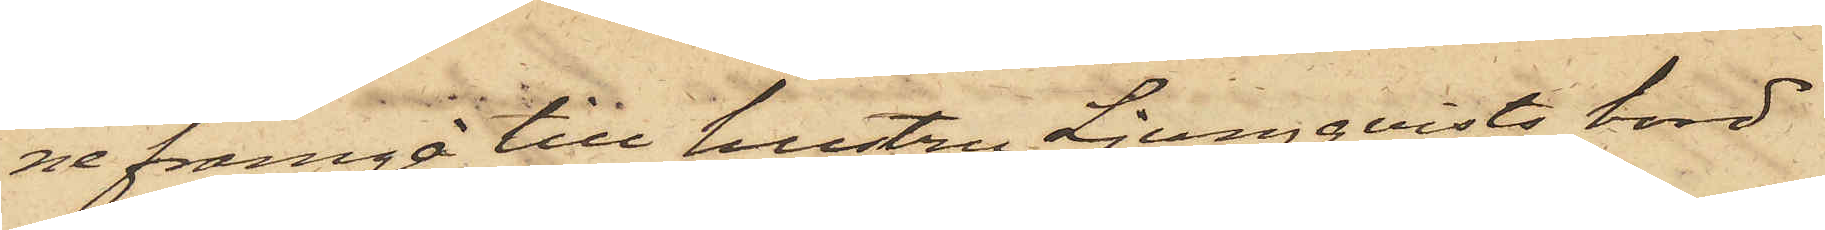ne framgå till hustru Ljungqvists bord
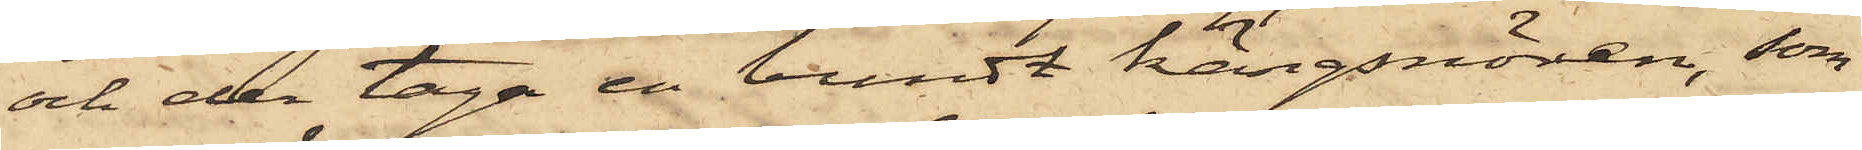och der taga en bundt kängsnören, som
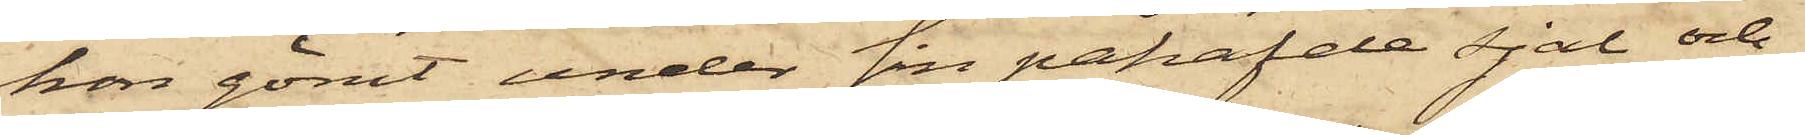hon gömt under sin påhafde sjal och
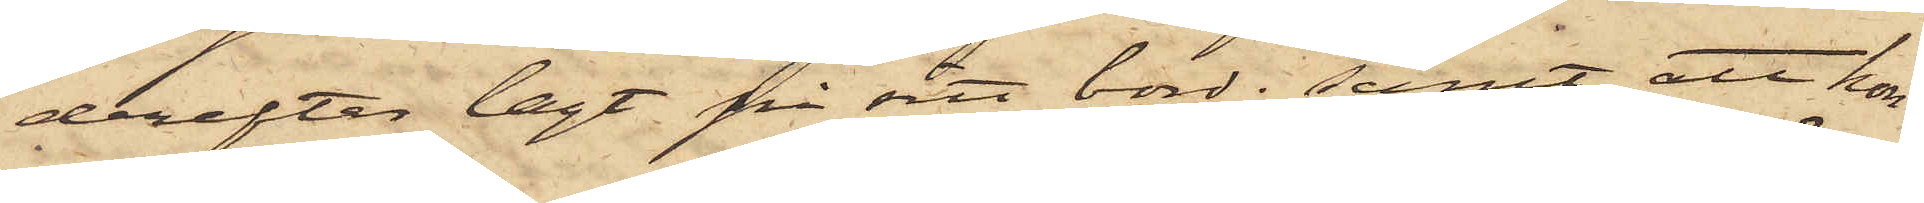derefter lagt på sitt bord; samt att hon
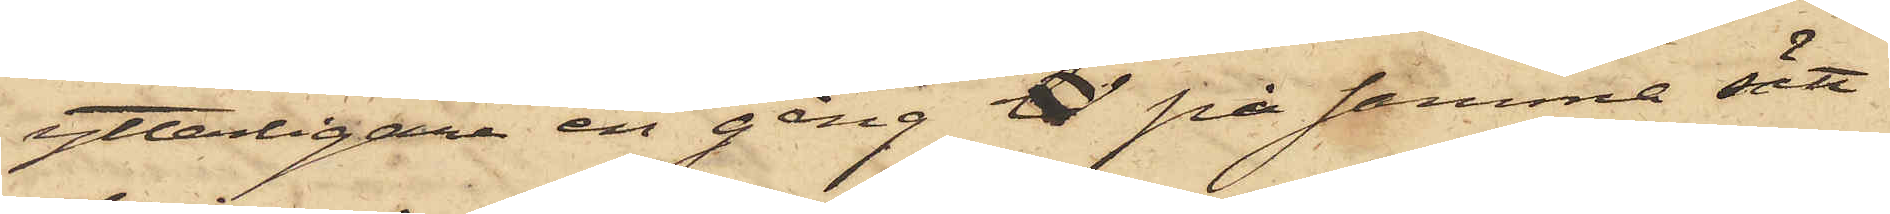ytterligare en gång til på samma sätt
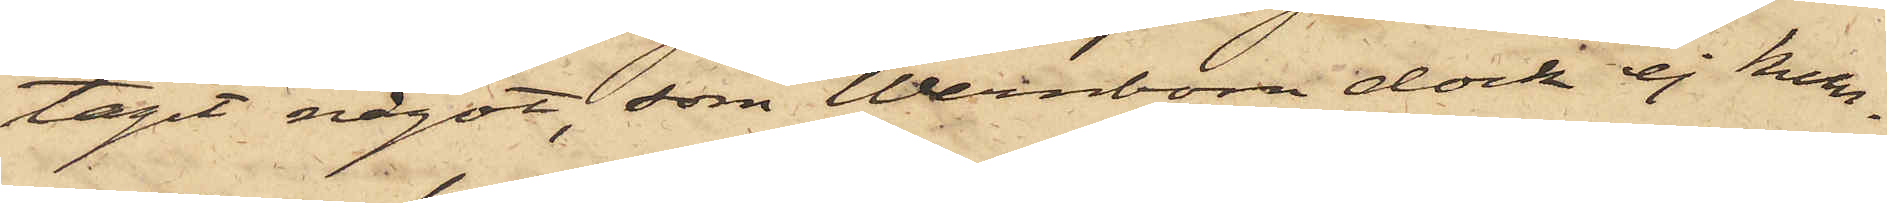tagit något, som Wernbom dock ej kun¬
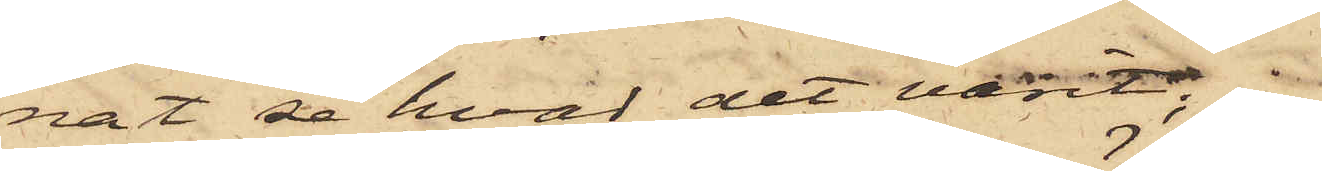nat se hvad det varit;
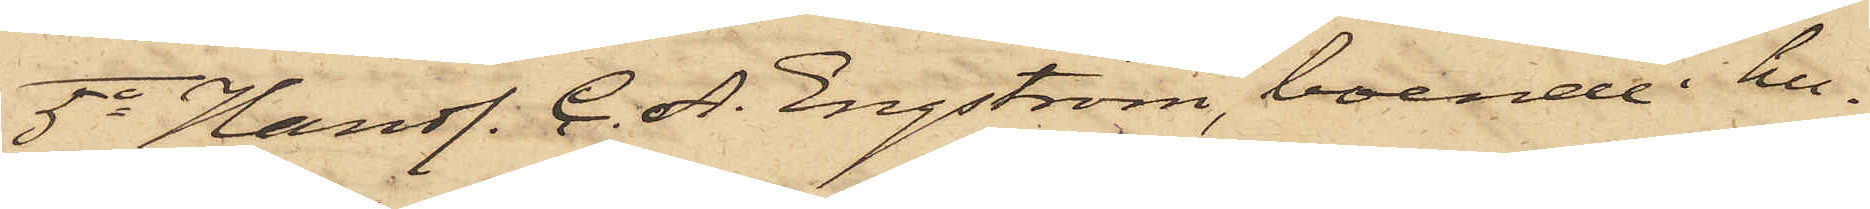5o Handl. C. A. Engström, boende i hu¬
